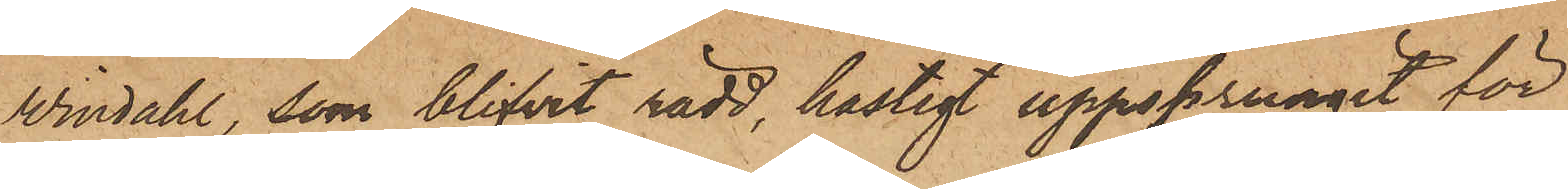Windahl, som blifvit rädd, hastigt uppsprungit för
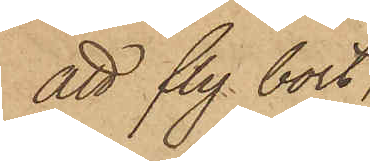att fly bort,
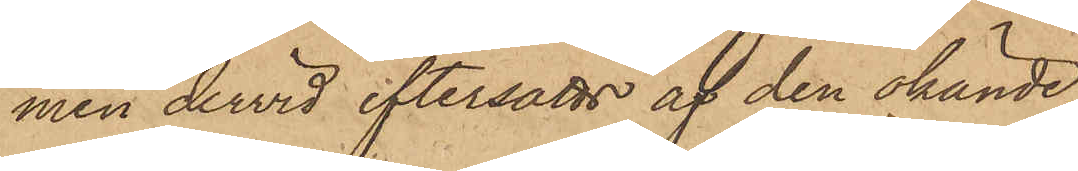men dervid eftersatts af den okände,
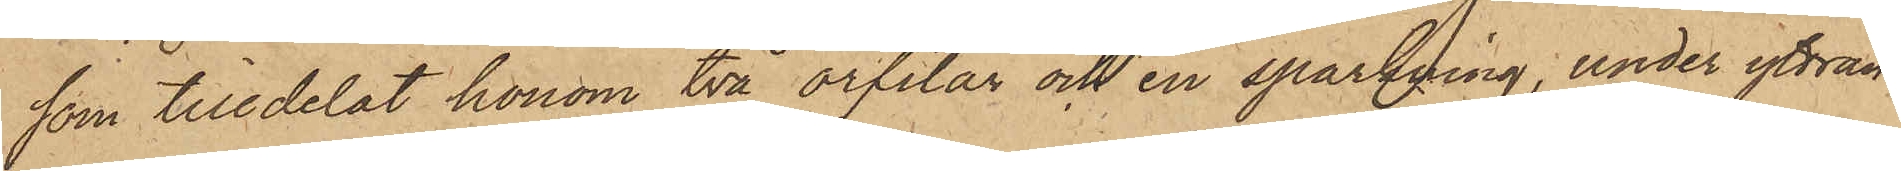som tilldelat honom två örfilar och en sparkning, under yttran¬
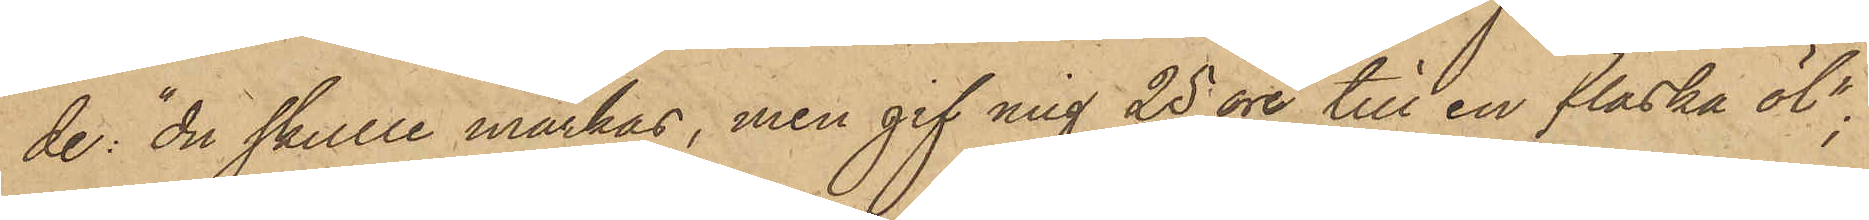de "du skulle märkas, men gif mig 25 öre till en flaska öl";
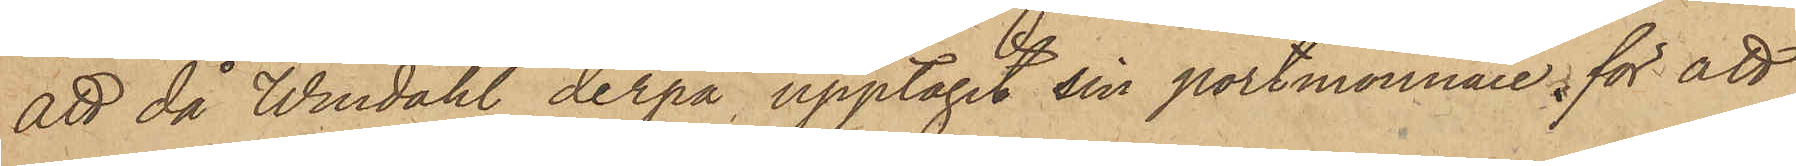att då Windahl derpå upptagit sin portmonnaie, för att
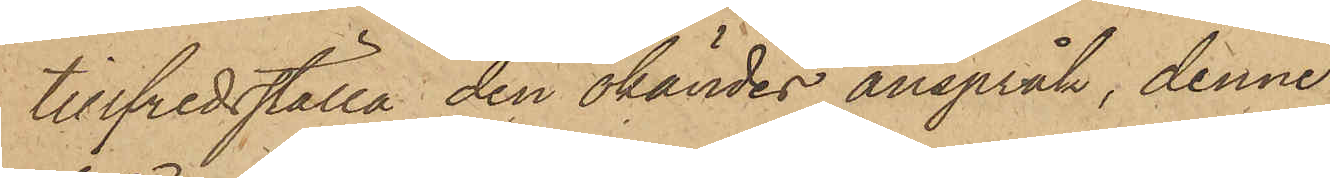tillfredsställa den okändes anspråk, denne
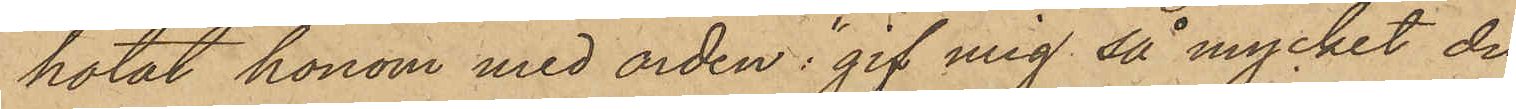hotat honom med orden: "gif med så mycket du
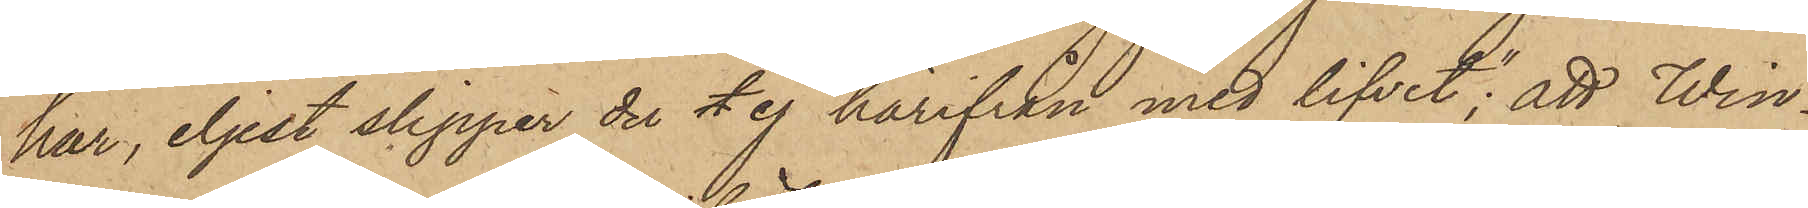har, eljest slipper du t ej härifrån med lifvet"; att Win¬
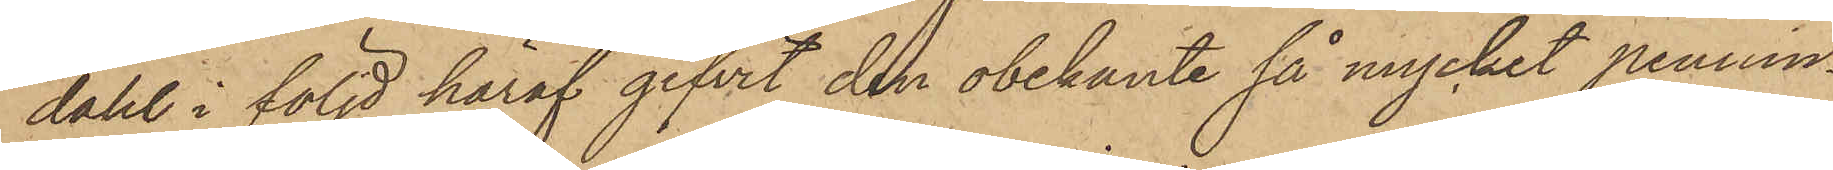dahl i följd häraf gifvit den obekante så mycket pennin¬
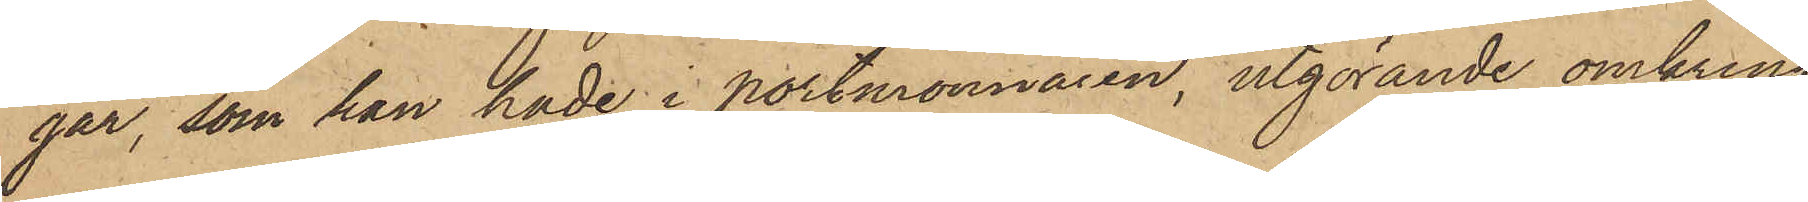gar, som han hade i portmonnaien, utgörande omkring
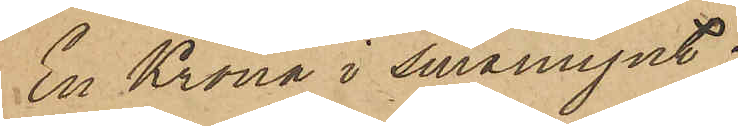En Krona i småmynt;
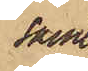samt
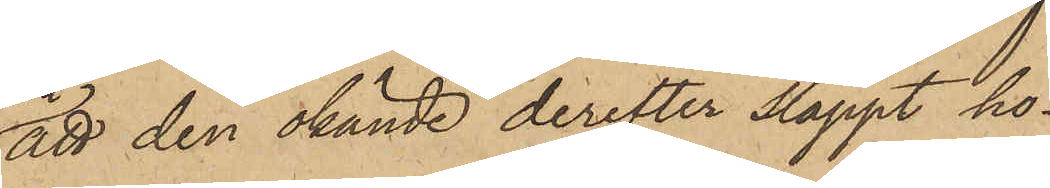att den okände derefter släppt ho¬
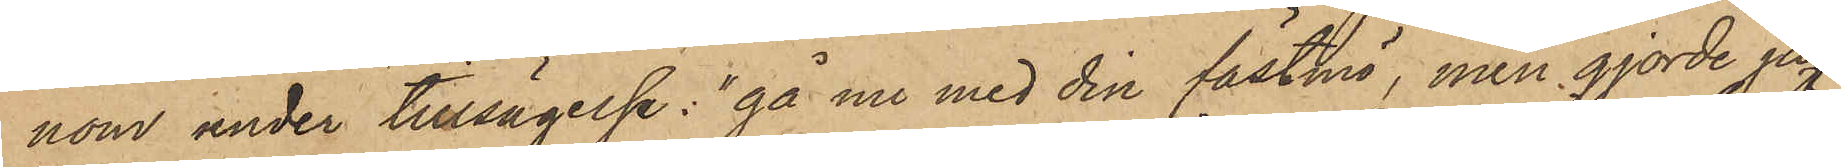nom under tillsägelse: "gå nu med din fästmö, men gjorde jag
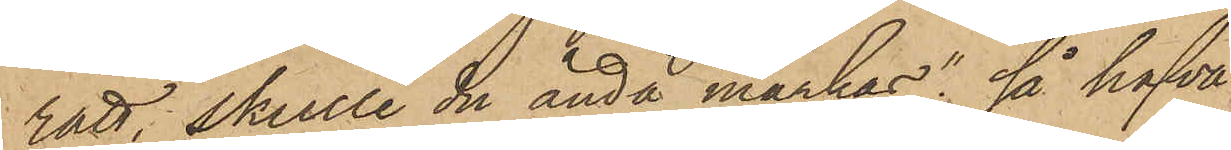rätt, skulle du ändå märkas"; så hafva
